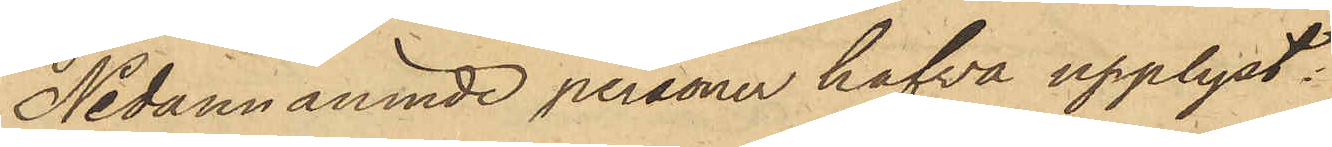Nedannämnde personer hafva upplyst:
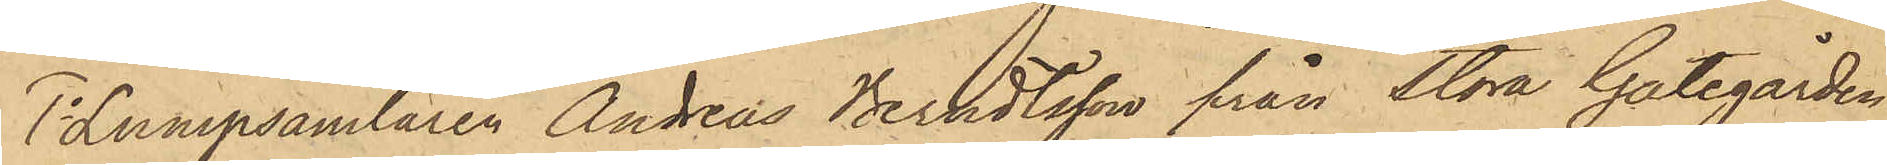1o Lumpsamlaren Andreas Berndtsson från Stora Gategården
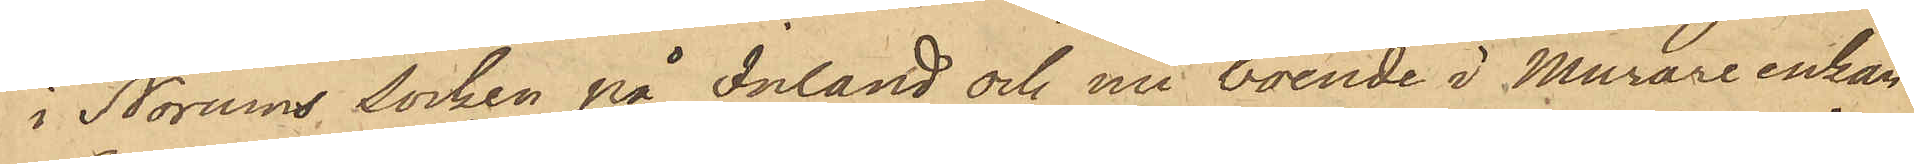i Norums socken på Inland och nu boende i Murareenkan
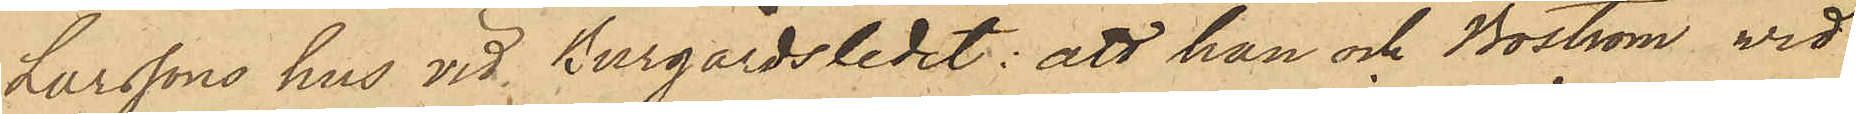Larssons hus vid Burgårdsledet: att han och Boström vid
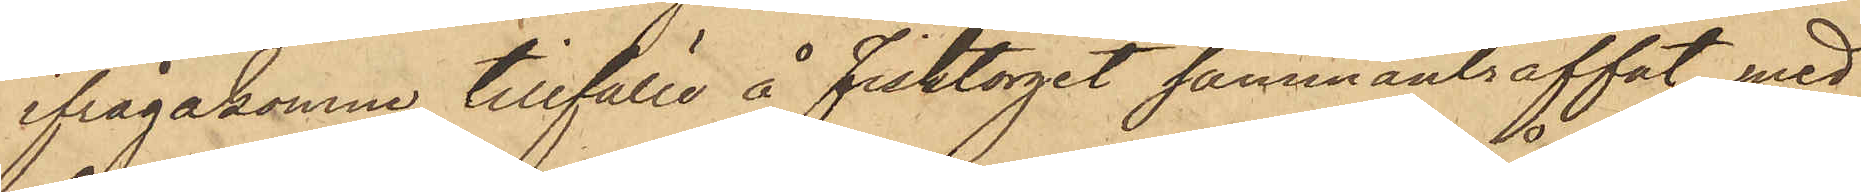ifrågakomne tillfälle å Fisktorget sammanträffat med
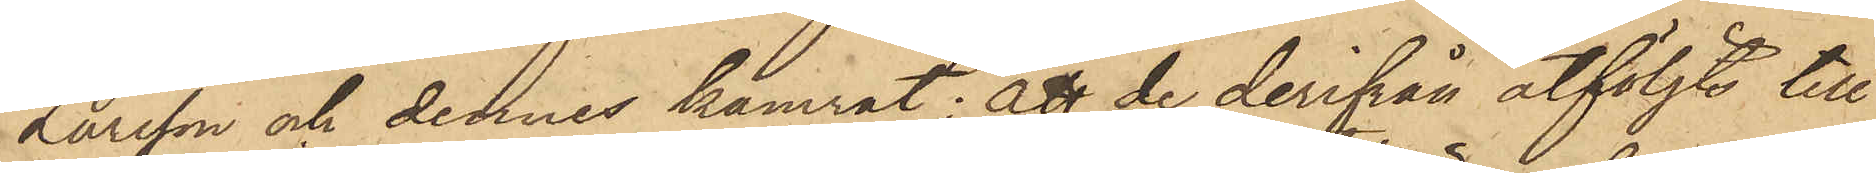Larsson och dennes kamrat; att de derifrån åtföljts till
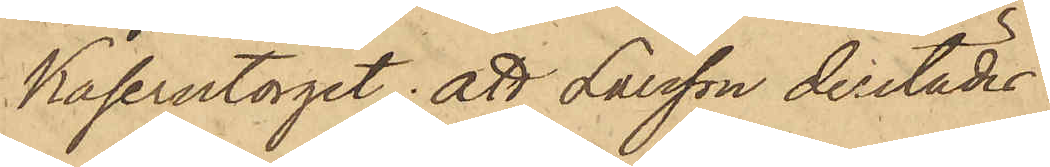Kaserntorget; att Larsson derstädes
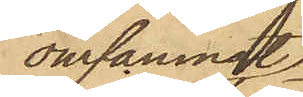omfamnat
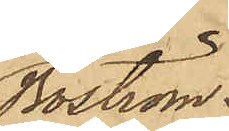Boström
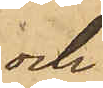och
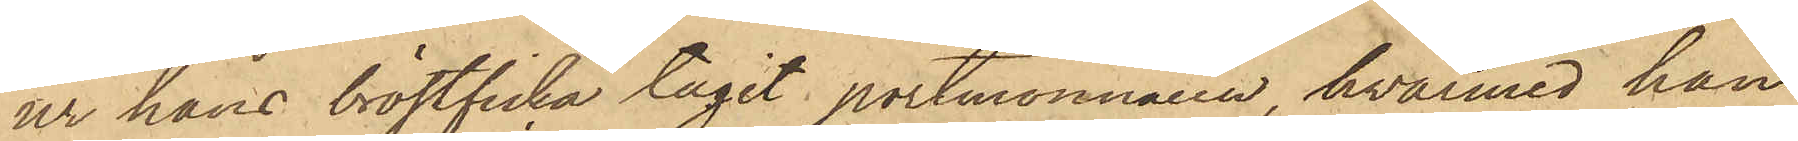ur hans bröstficka tagit portmonnaien, hvarmed han
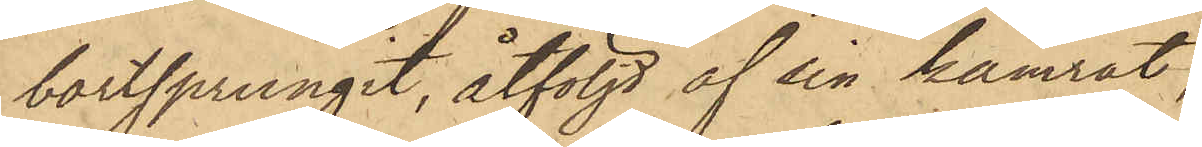bortsprungit, åtföljd af sin kamrat;
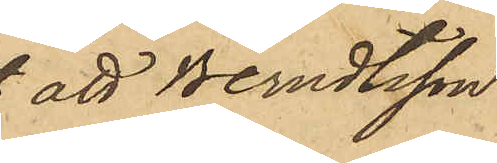 att Berndtsson
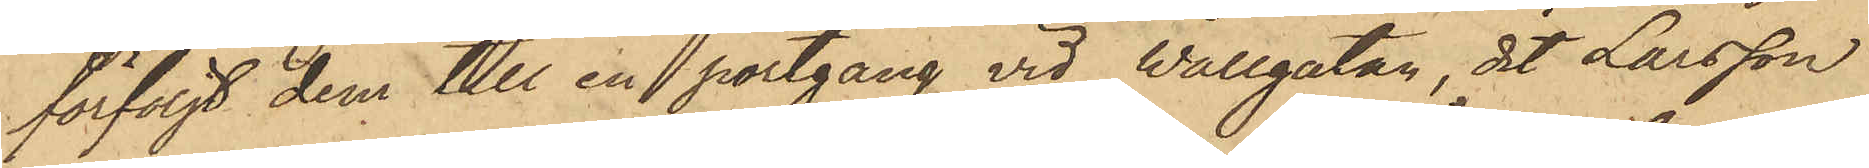förföljt dem till en portgång vid Wallgatan, dit Larsson
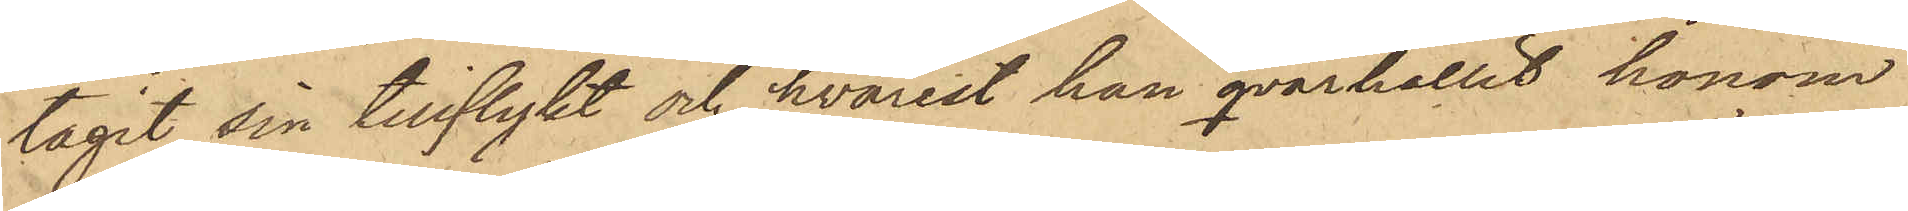tagit sin tillflykt och hvarest han qvarhållit honom
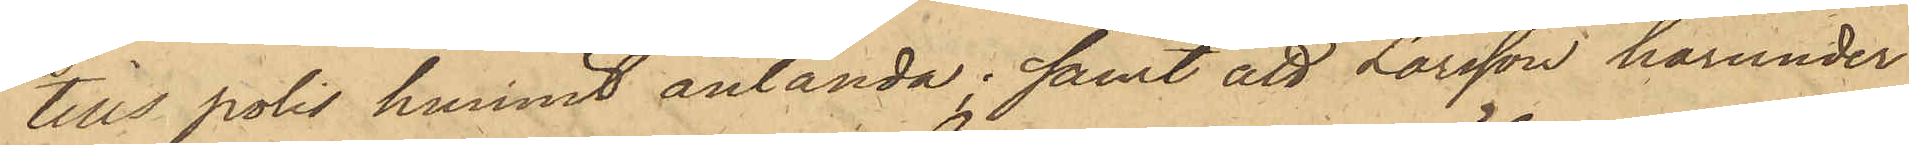tills polis hunnit anlända; samt att Larsson härunder
